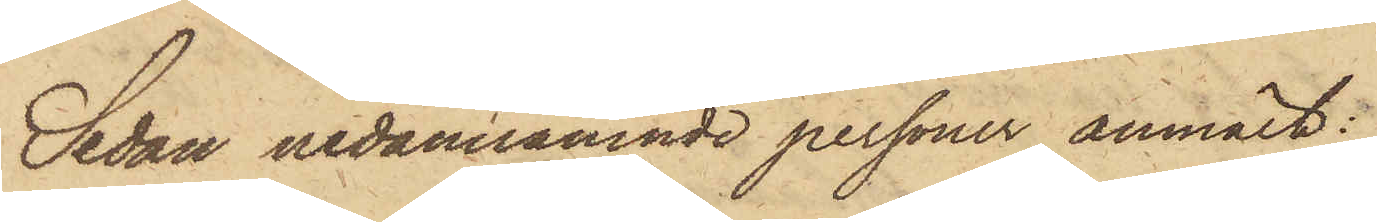Sedan nedannämnde personer anmält:
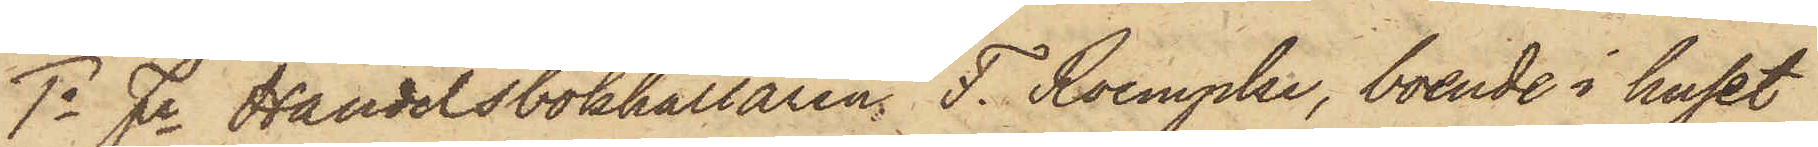1o Fe Handelsbokhållaren F. Roempke, boende i huset
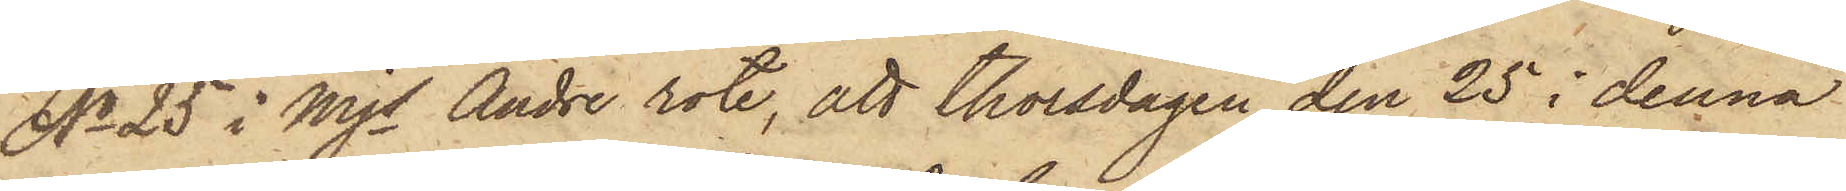No 25 i Mjs Andre rote, att Thorsdagen den 25 i denna
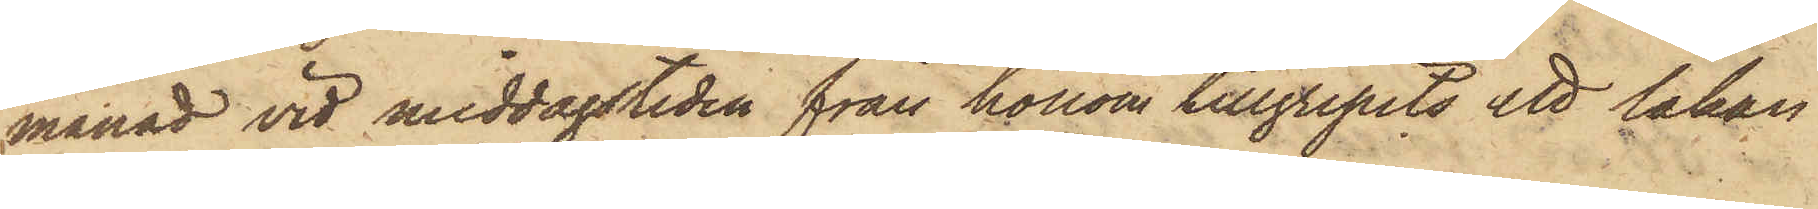månad vid middagstiden från honom tillgripits ett lakan
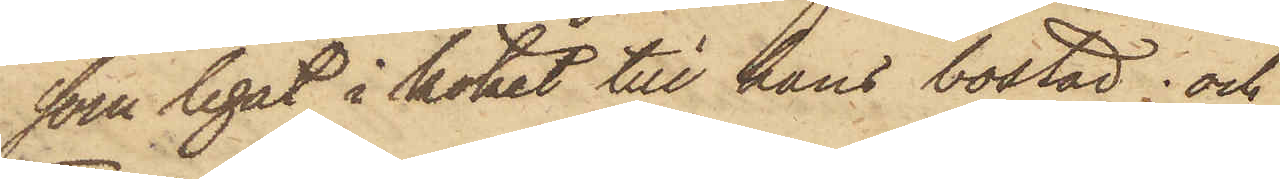som legat i köpet till hans bostad; och
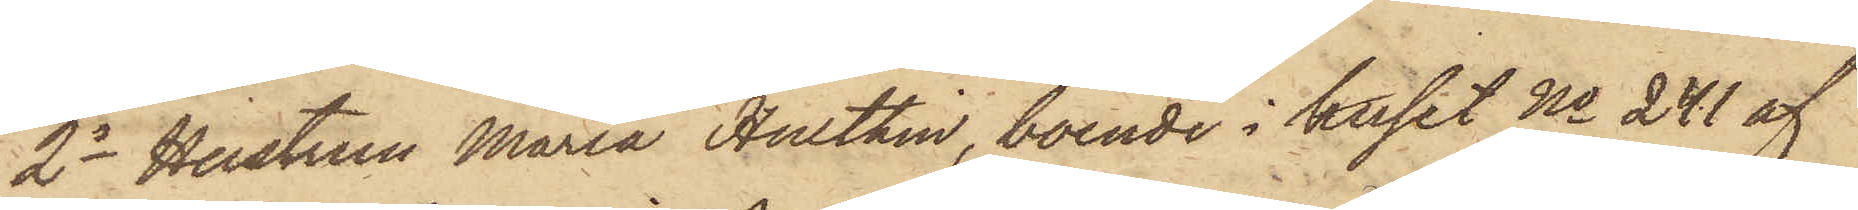2o Hustrun Maria Hulthin, boende i huset No 241 af
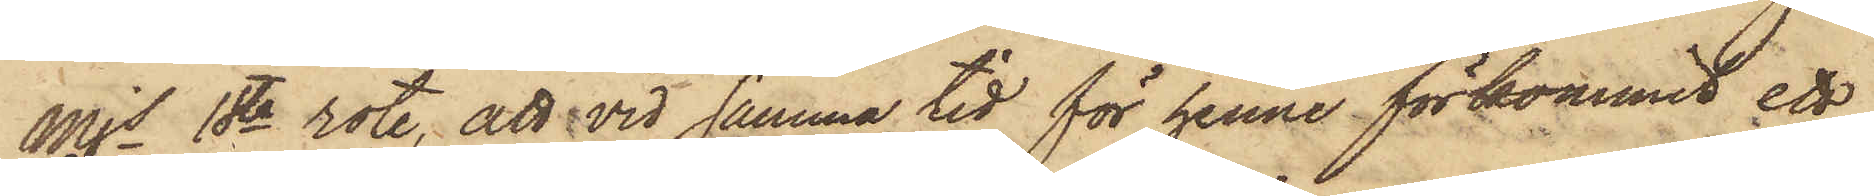Mjs 1sta rote, att vid samma tid för henne förkommit ett
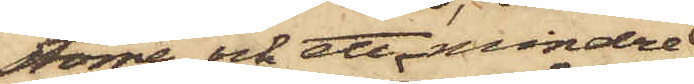större och ett mindre
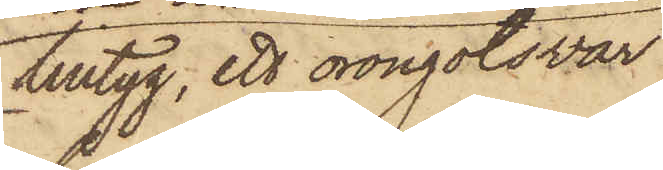lintyg, ett örongotsvar
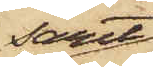samt
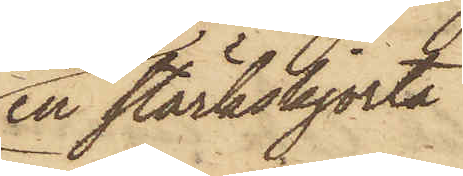en stärkskjorta,
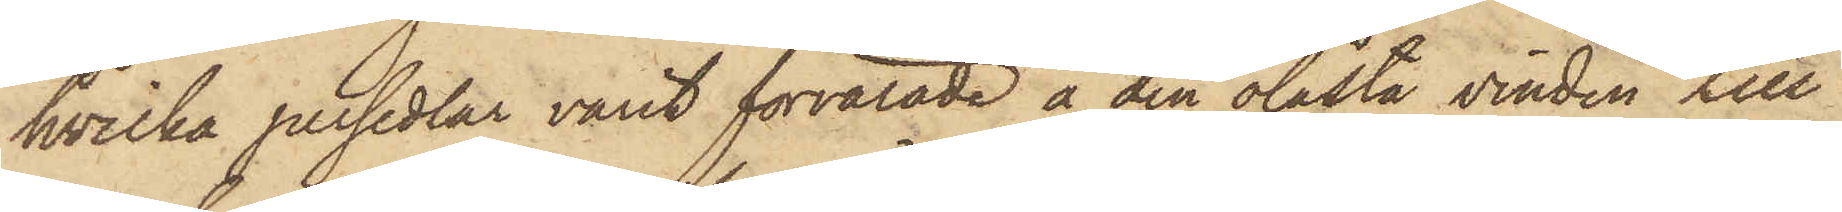hvilka persedlar varit förvarade å den olåsta vinden till
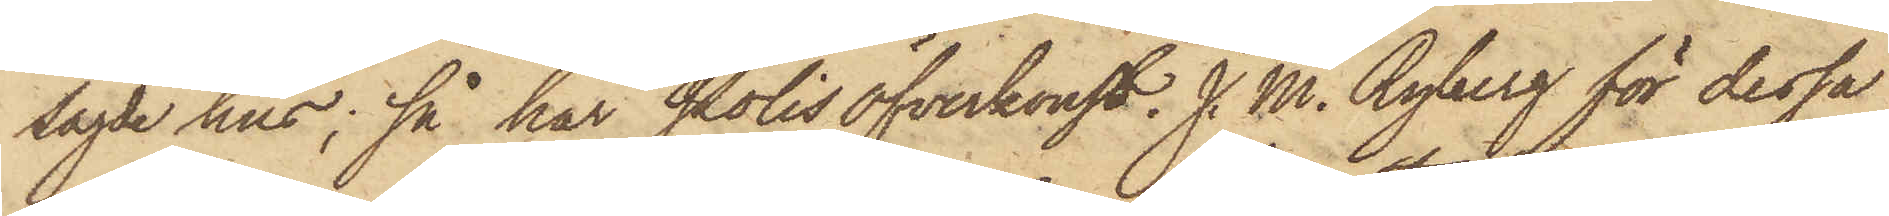sagde hus; så har Polisöfverkonst. J. M. Ryberg för dessa
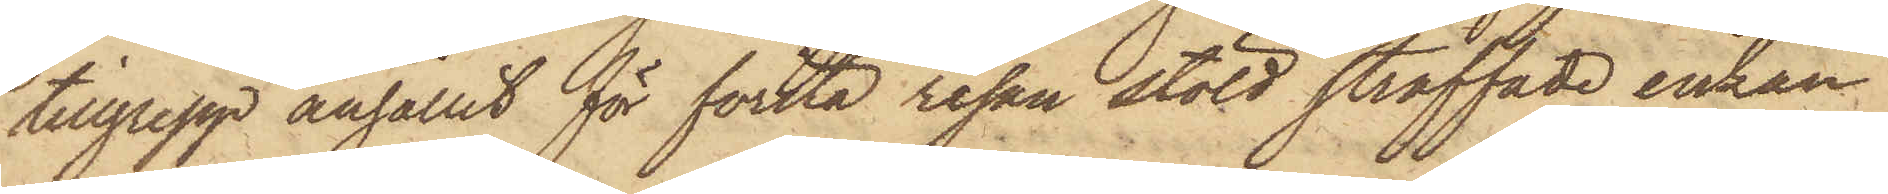tillgrepp anhållit för första resan stöld straffade enkan
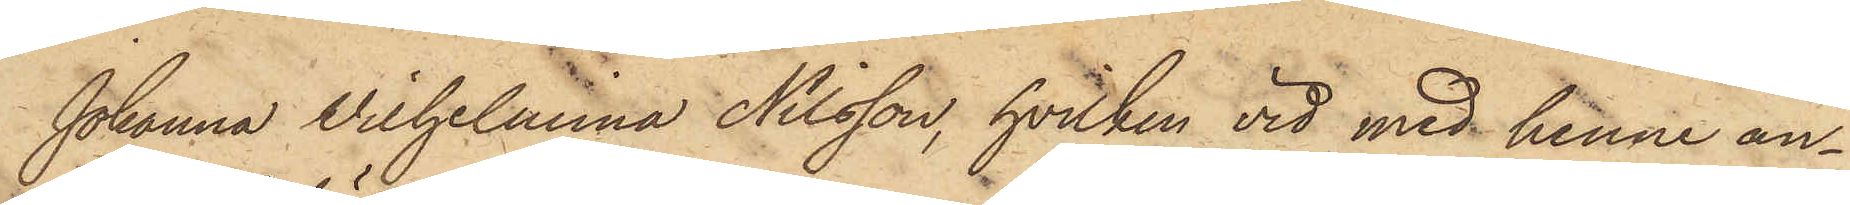Johanna Vilhelmina Nilsson, hvilken vid med henne an¬
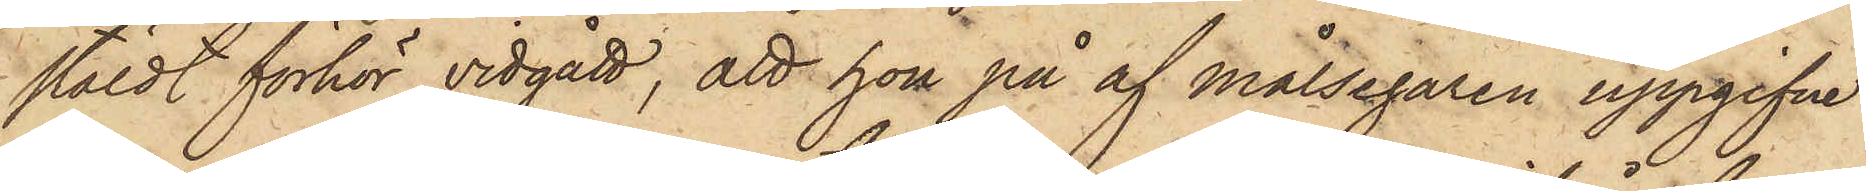stäldt förhör vidgått, att hon på af Målsegaren uppgifne
